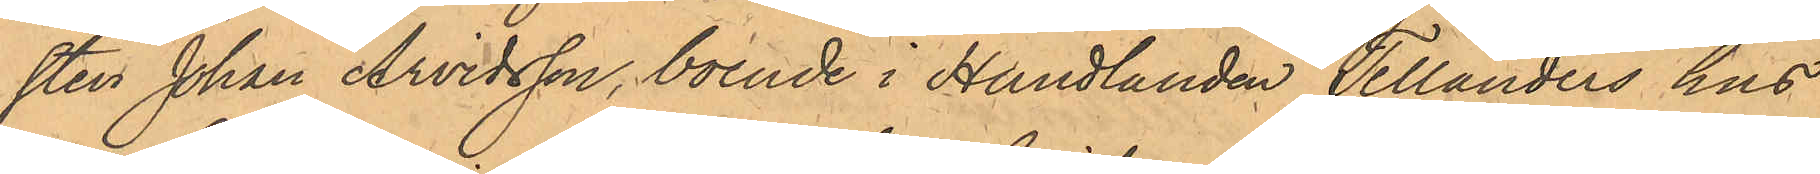sten Johan Arvidsson, boende i Handlanden Tellanders hus
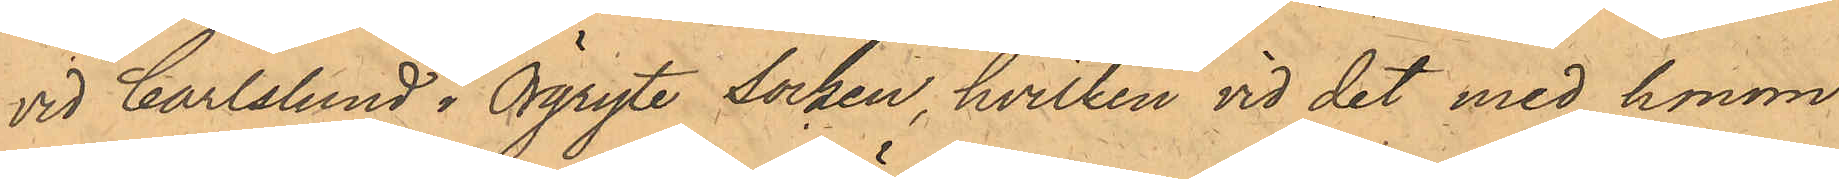vid Carlslund i Örgryte Socken, hvilken vid det med honom
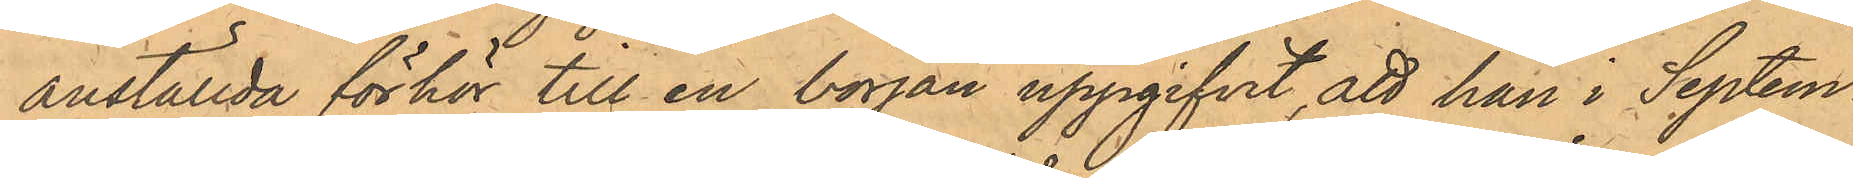anställda förhör till en början uppgifvit, att han i Septem¬
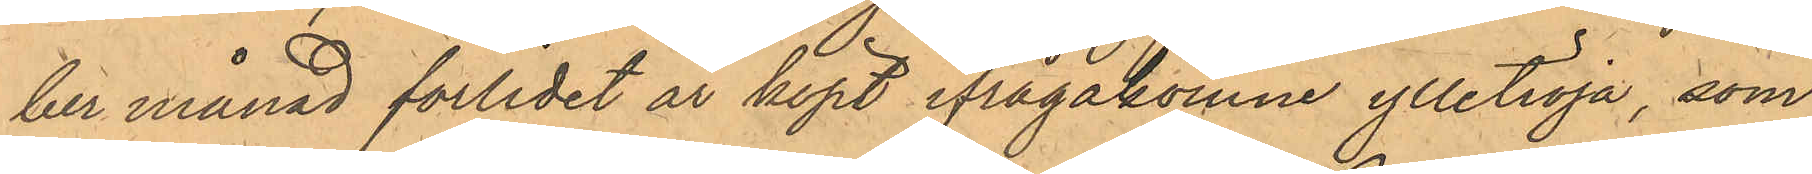ber månad förlidet år köpt ifrågakomne ylletröja, som
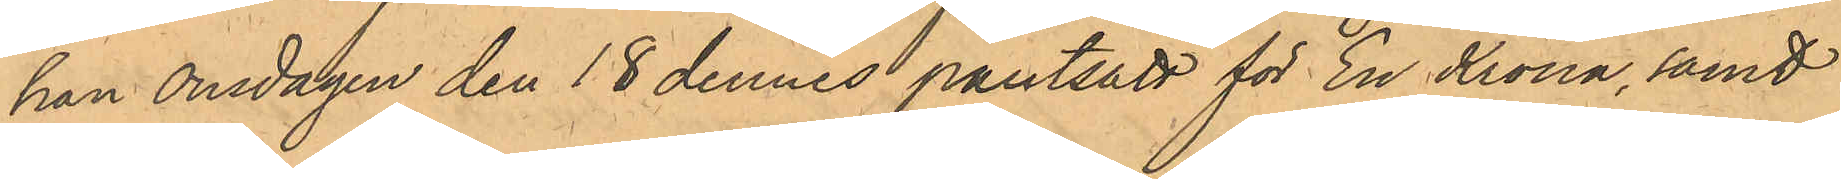han Onsdagen den 18 dennes pantsatt för En Krona, samt
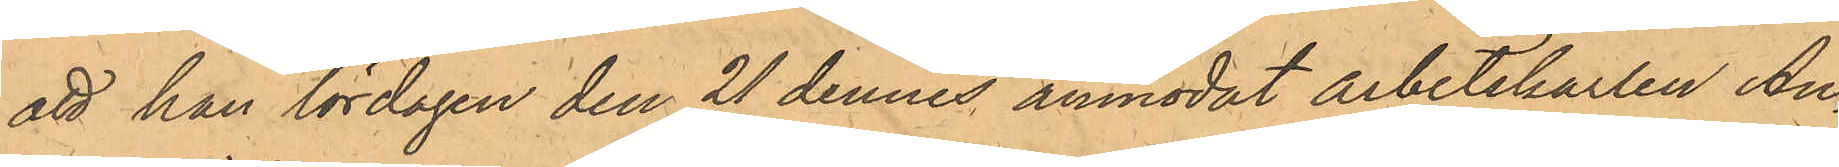att han lördagen den 21 dennes anmodat arbetskarlen An¬
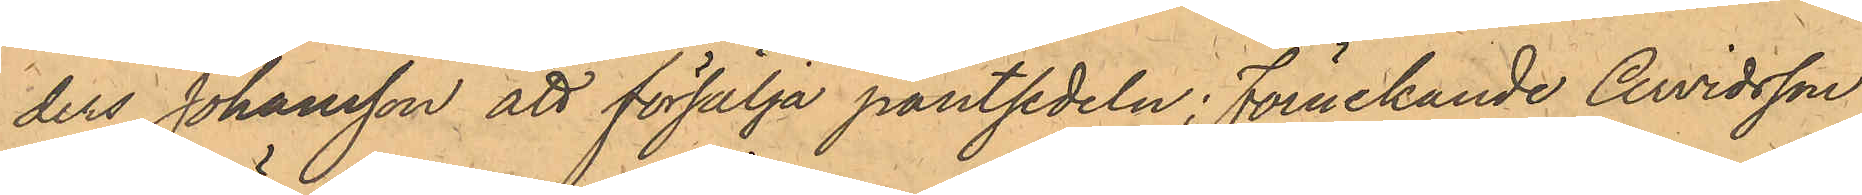ders Johansson att försälja pantsedeln; förnekande Arvidsson
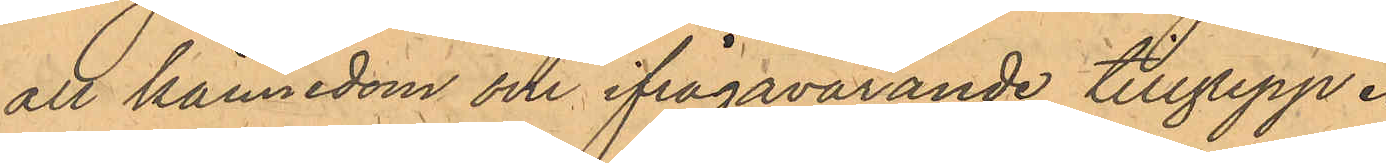all kännedom om ifrågavarande tillgrepp.
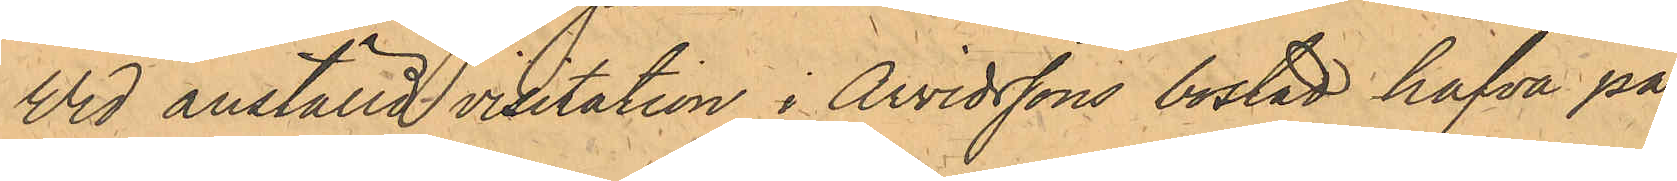Vid anställd visitation i Arvidssons bostad hafva på¬
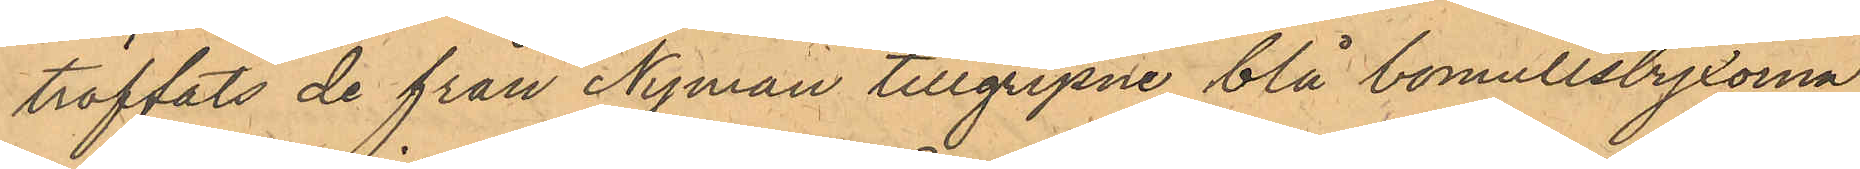träffats de från Nyman tillgripne blå bomullsbyxorna;
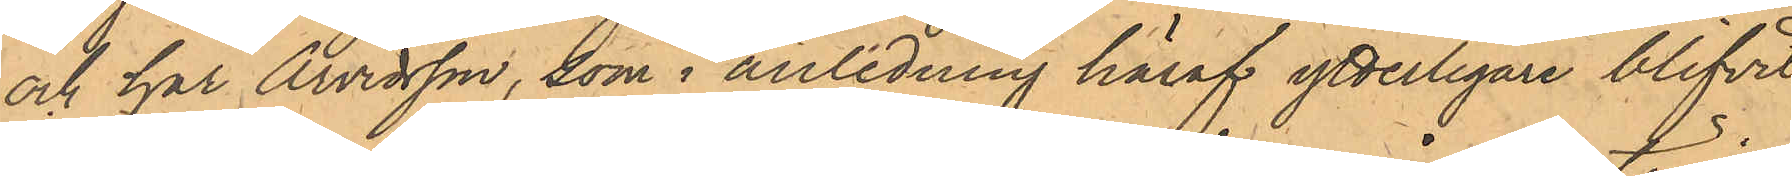och har Arvidsson, som i anledning häraf ytterligare blifvit
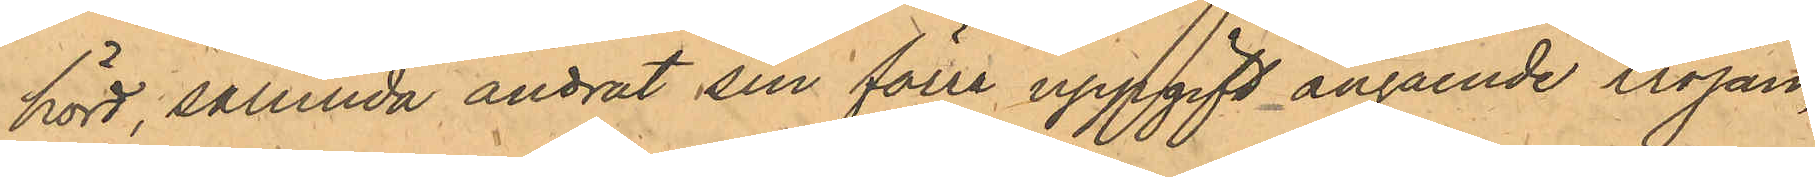hörd, sålunda ändrat sin förre uppgift angående tröjan,
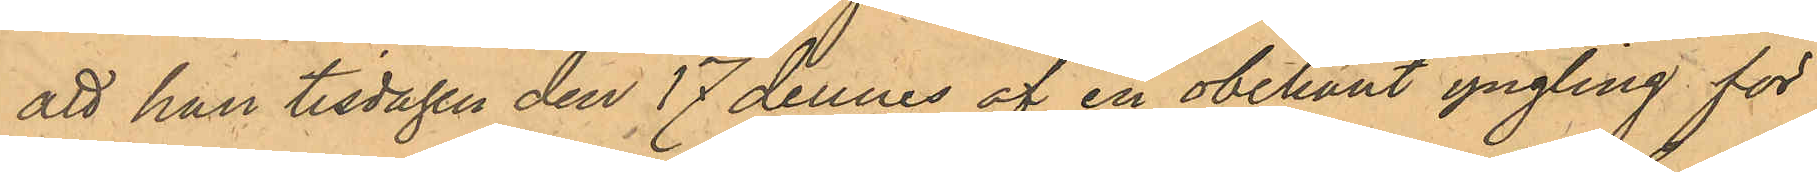att han tisdagen den 17 dennes af en obekant yngling för
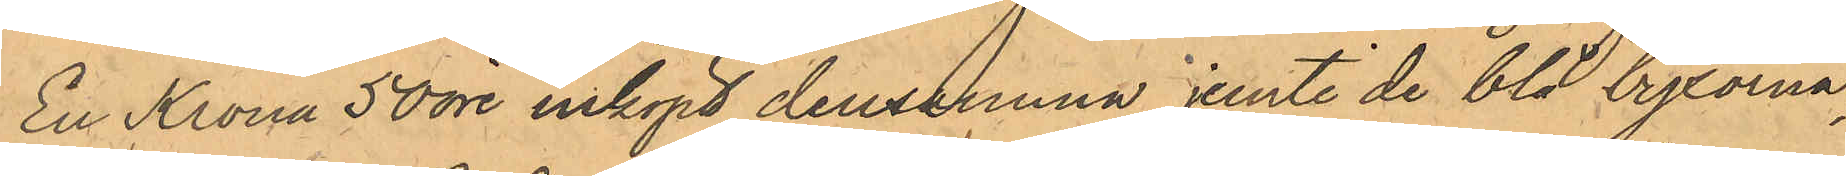En Krona 50 öre inköpt densamma jemte de blå byxorna;
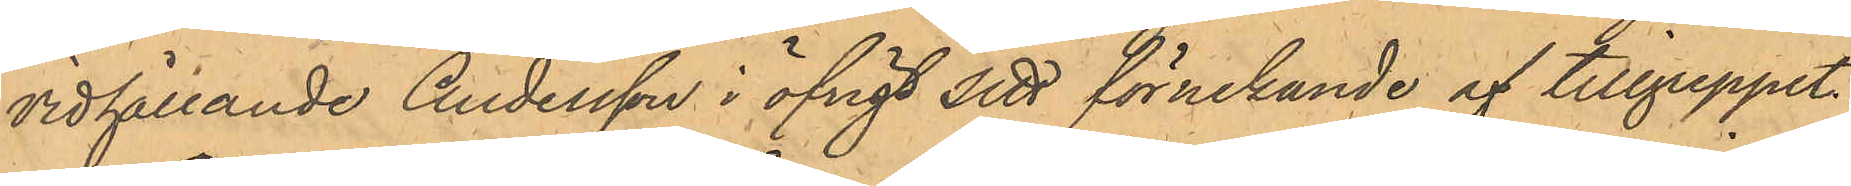vidhållande Andersson i öfrigt sitt förnekande af tillgreppet.
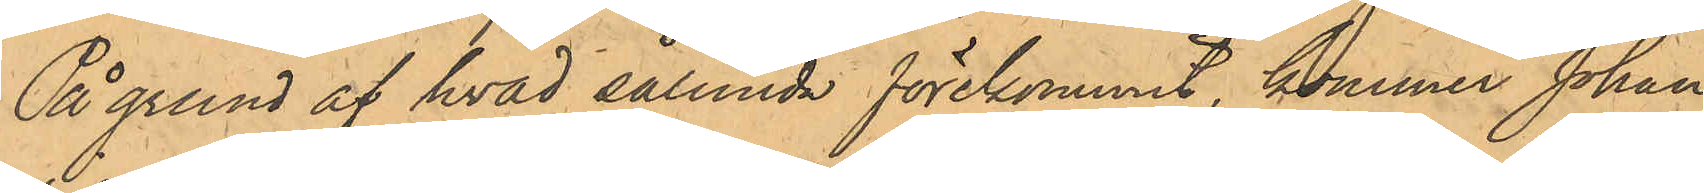På grund af hvad sålunda förekommit, kommer Johan
